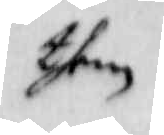them
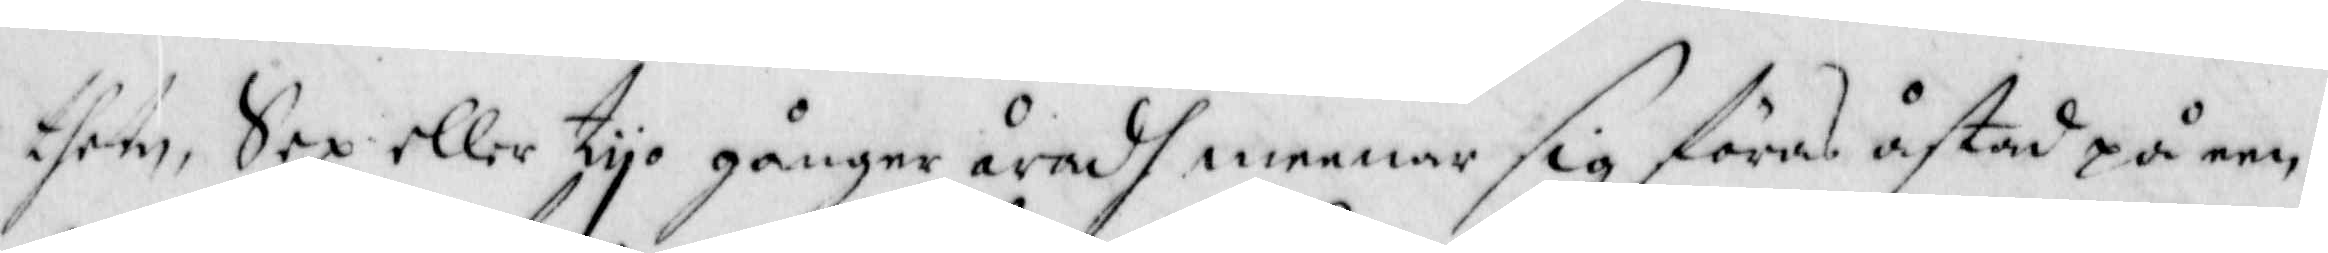them, Sex eller tyo gånger åradh meenar sig föras åstad på een
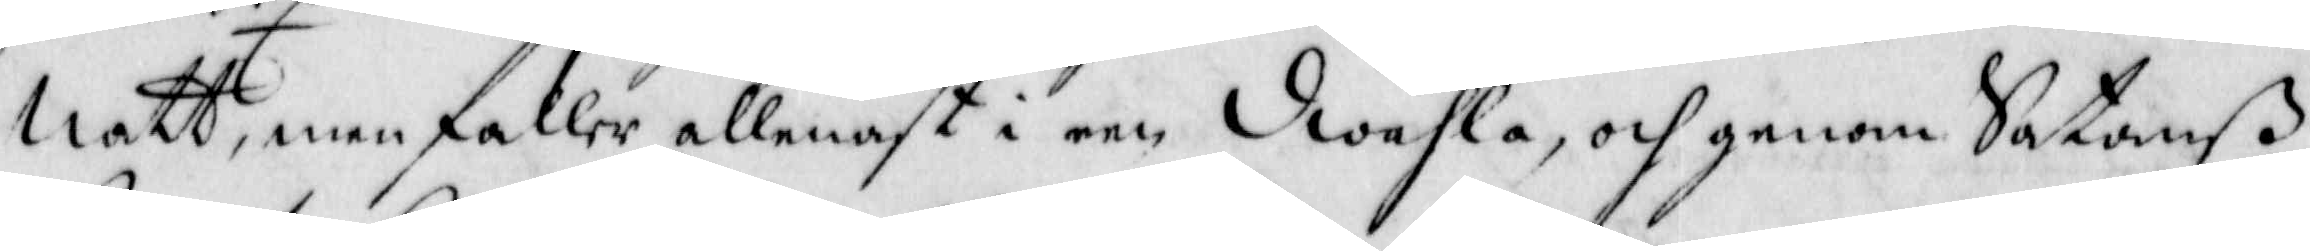Natt, men faller allenast i een dwahla, och genom Satanß
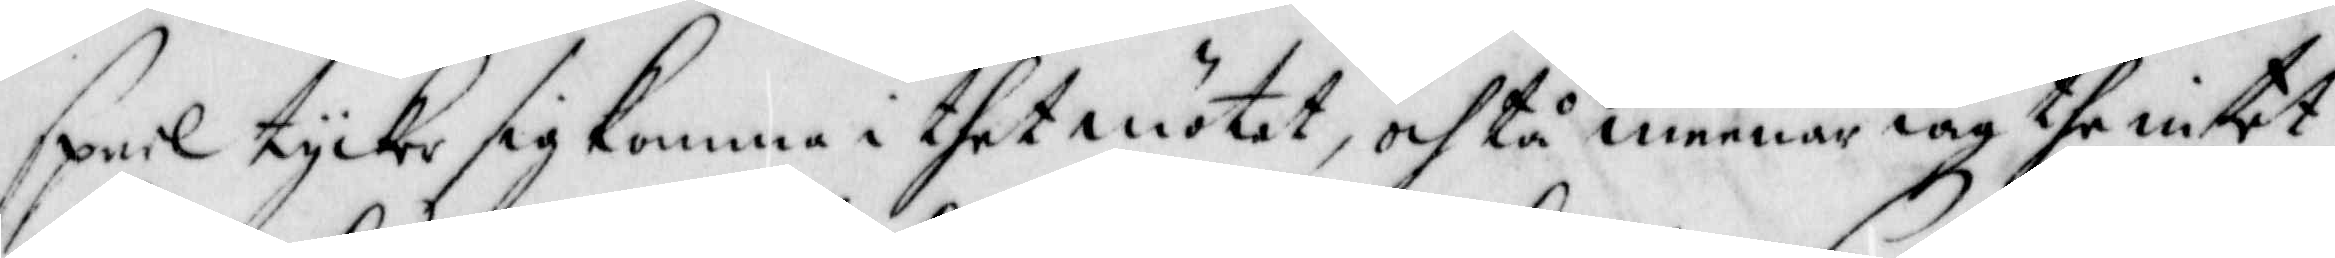speel tycker sig komma i thet möttet, och tå meenar iag the intet
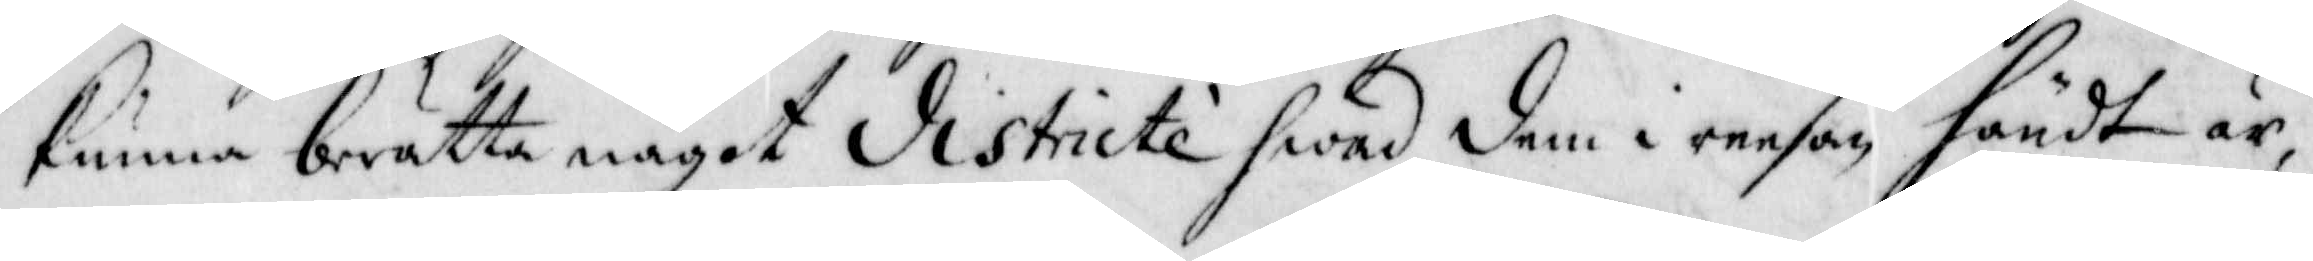kunna berätta något districte hwad dem i reesan händt är,
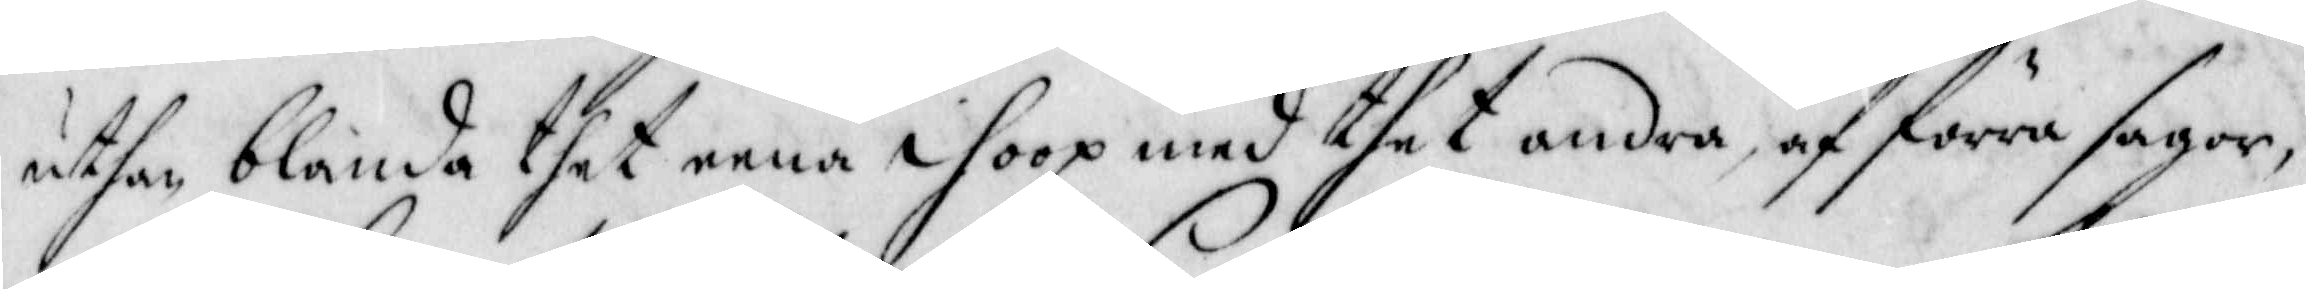uthan blanda thet enna ihoop med thet andra, af förra sagor,
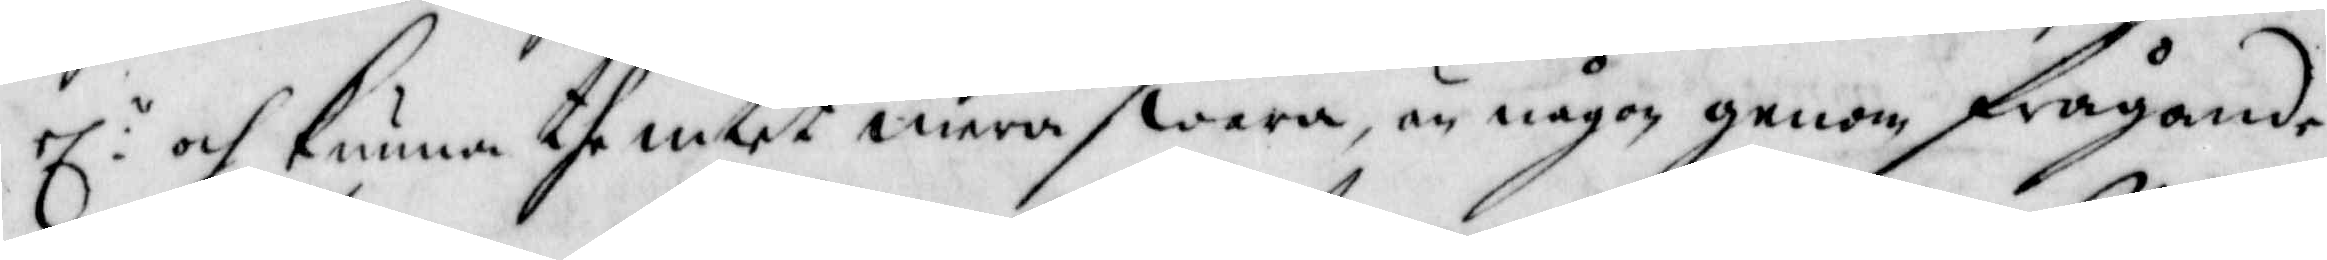el: och kunna the intet mera swara, än någon genom frågande
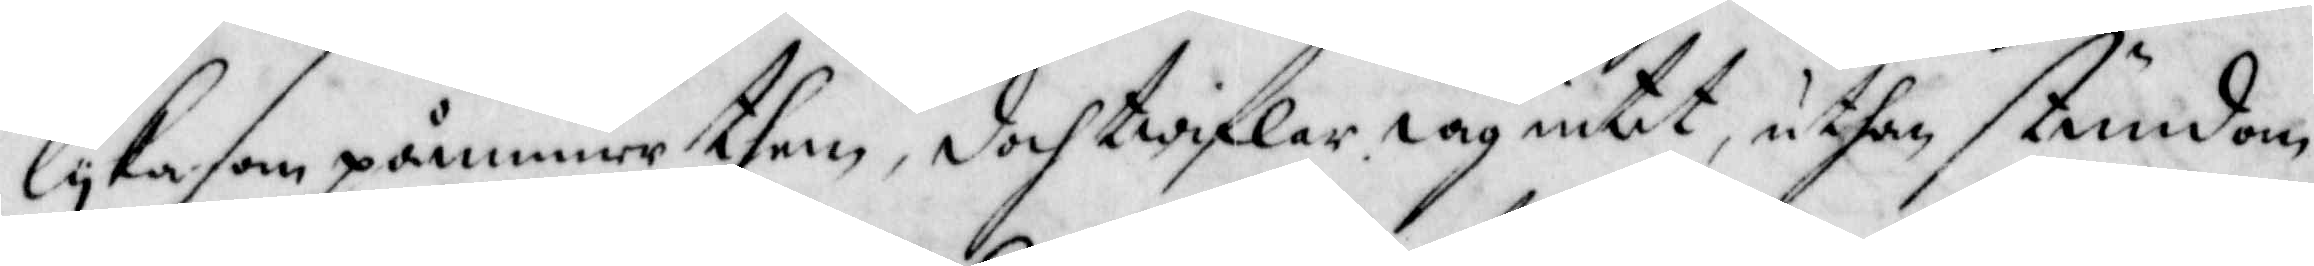lyka som påinner them, doch twiflar iag intet, uthan stundom
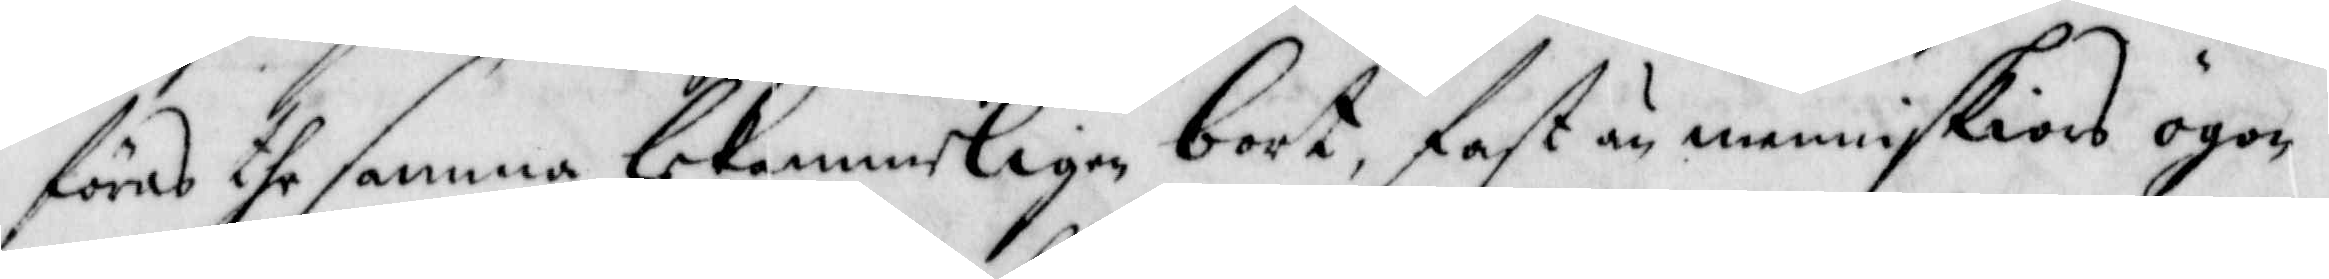föras dhe samma lekamerligen bort, fast än menniskiors ögon
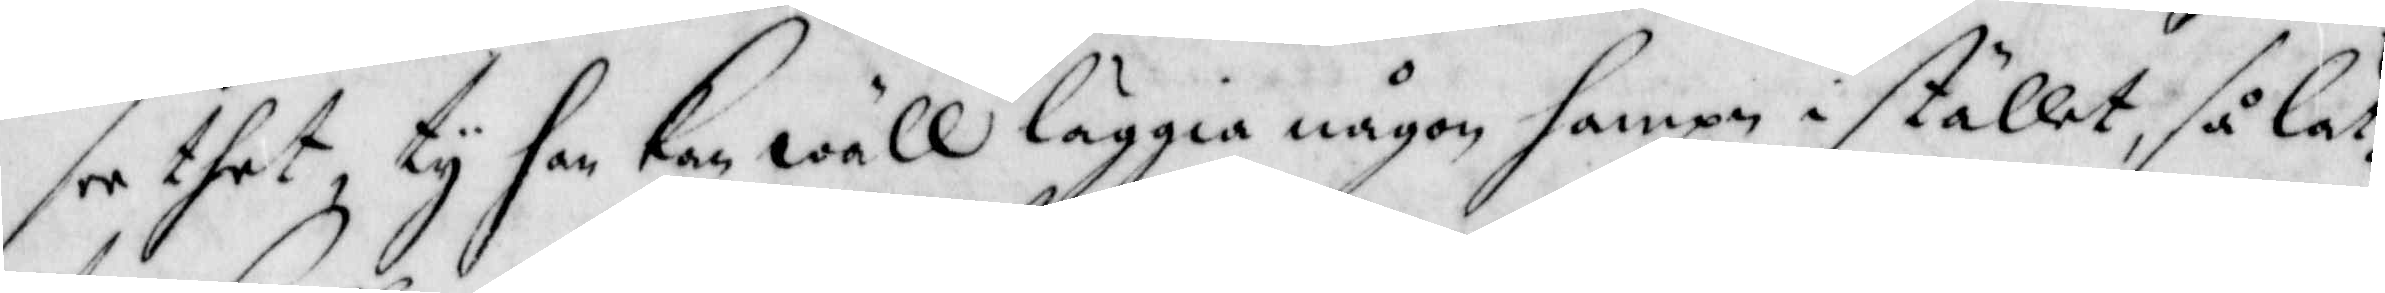see thet, ty han kan wäll läggia någon hampn i stället, så lät¬
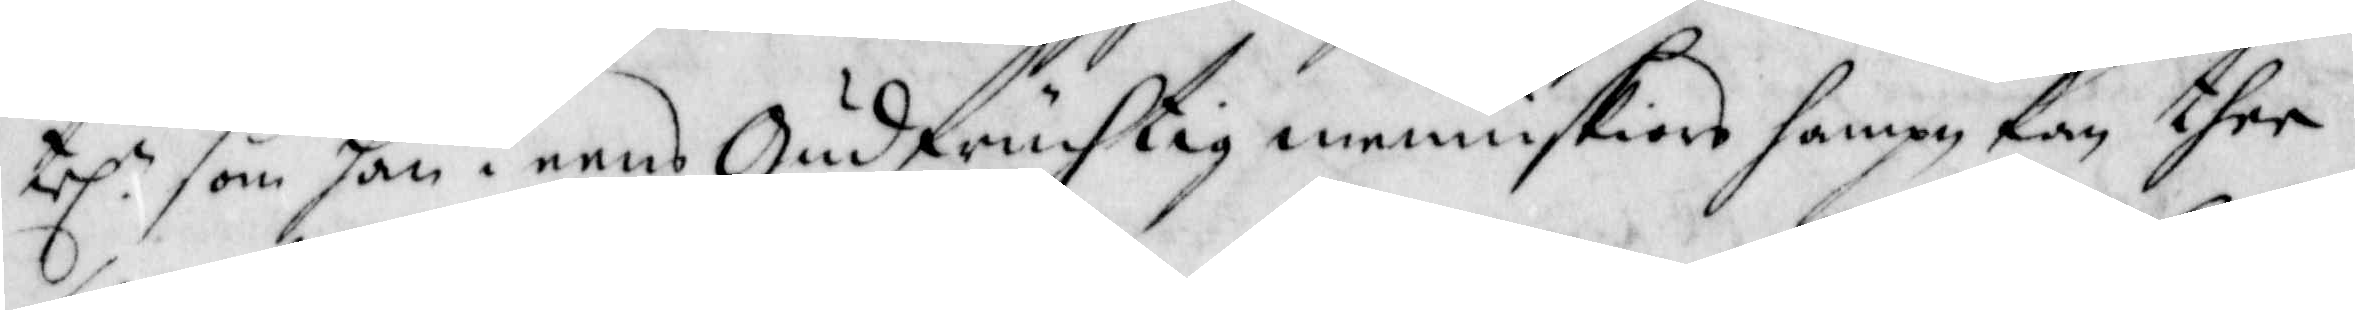tel: som han i eens Gudfruchtig menniskiors hampn kan ther
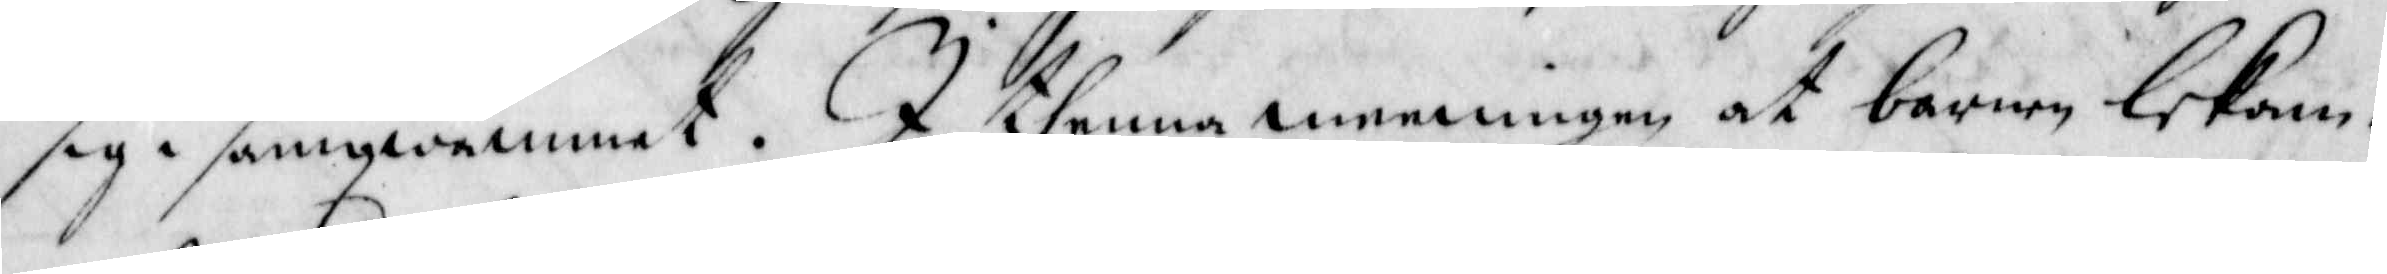sig i samqwämmet. I thenne meeningen at barnen lekam-
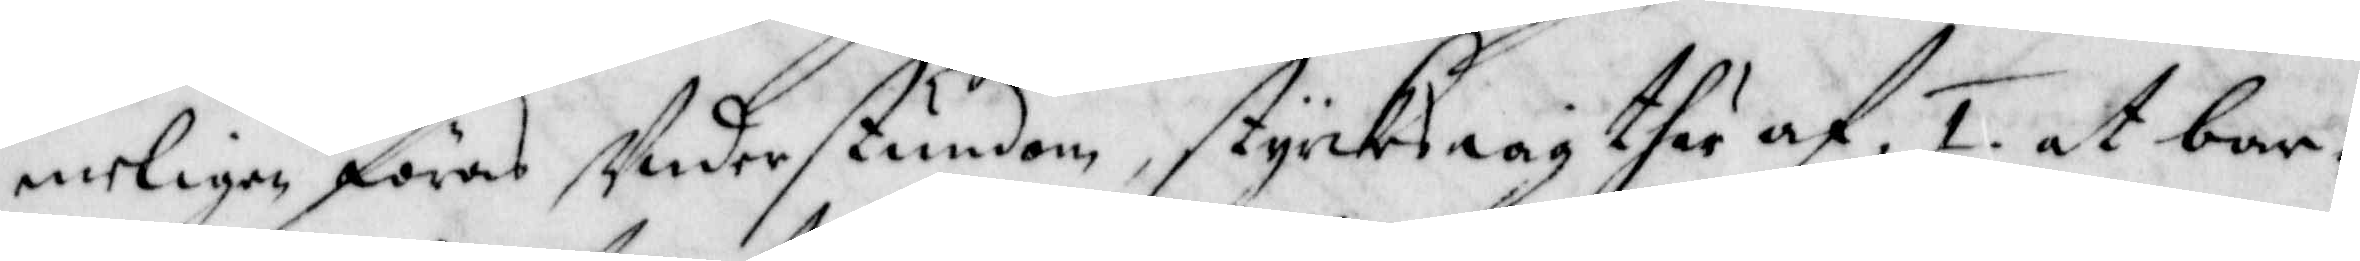meligen föras understundom, styrckes iag ther af, 1. at bar¬
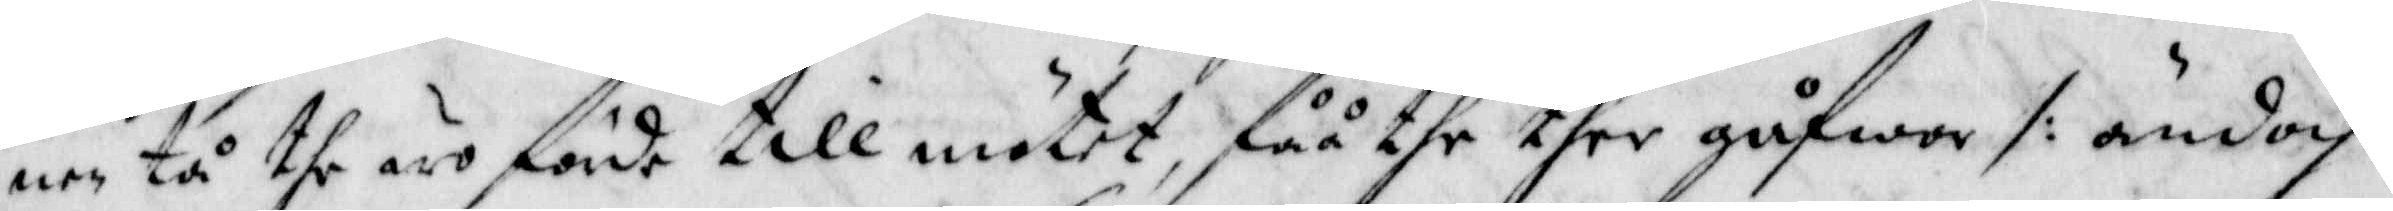nen tå the äro förde till mötet, fåå the ther gåfwor /: ändoch
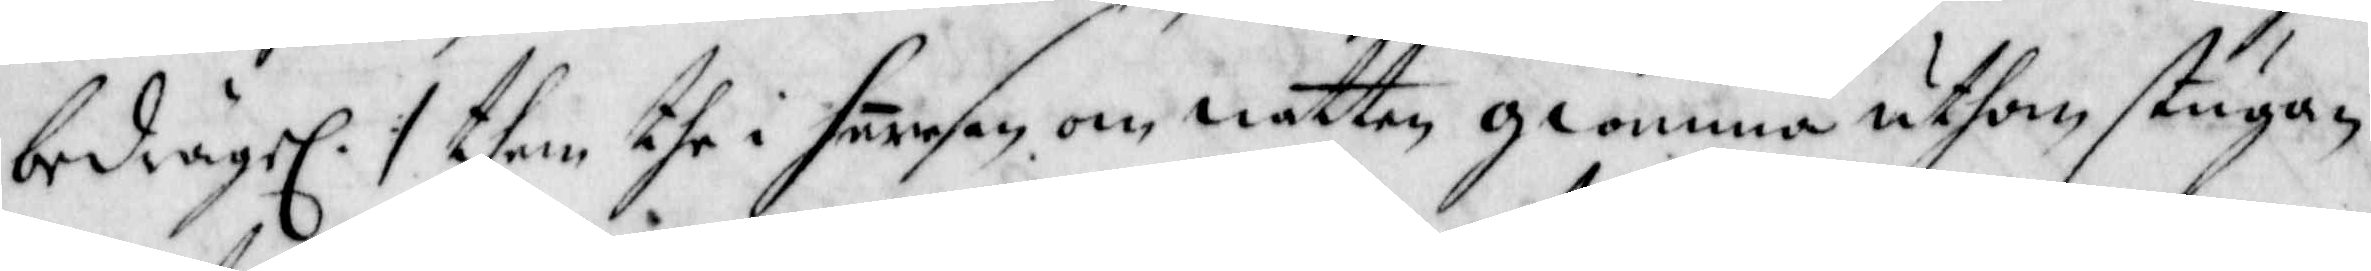bedrägel. :/ them the i heresen om natten glömma uthom stugan
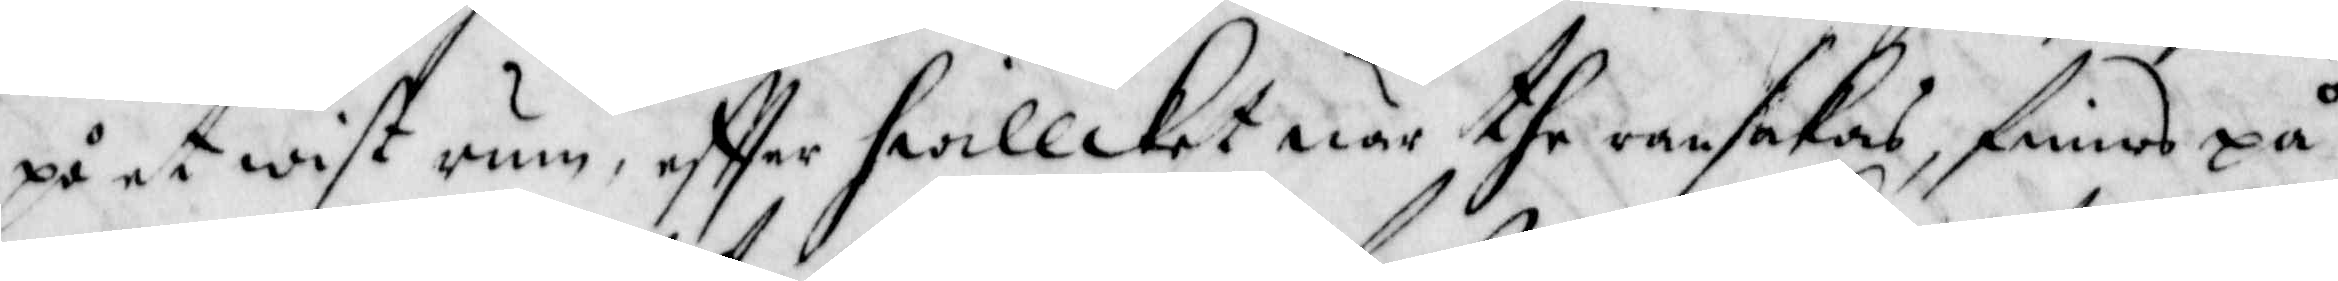på et wist rum, effter hwillcket när the ransakas, finnes på
